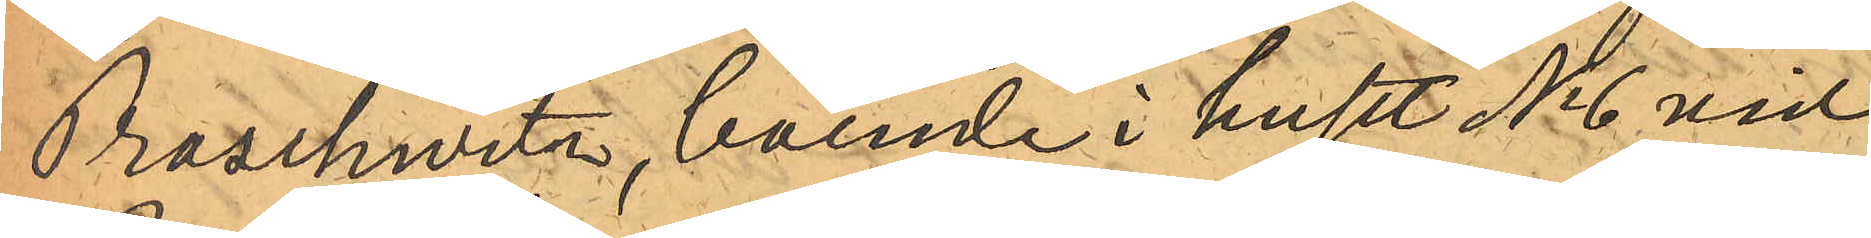Proschwitz, boende i huset No 6 vid
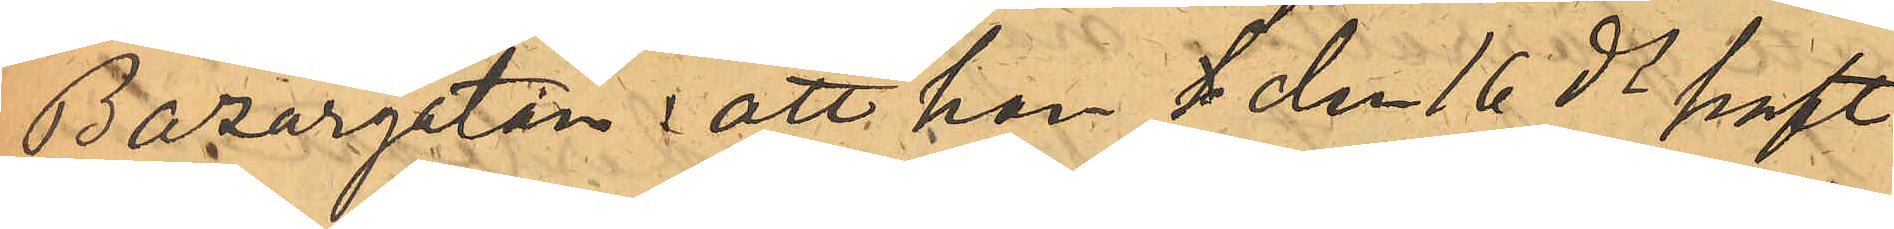Bazargatan: att han h den 16 ds haft
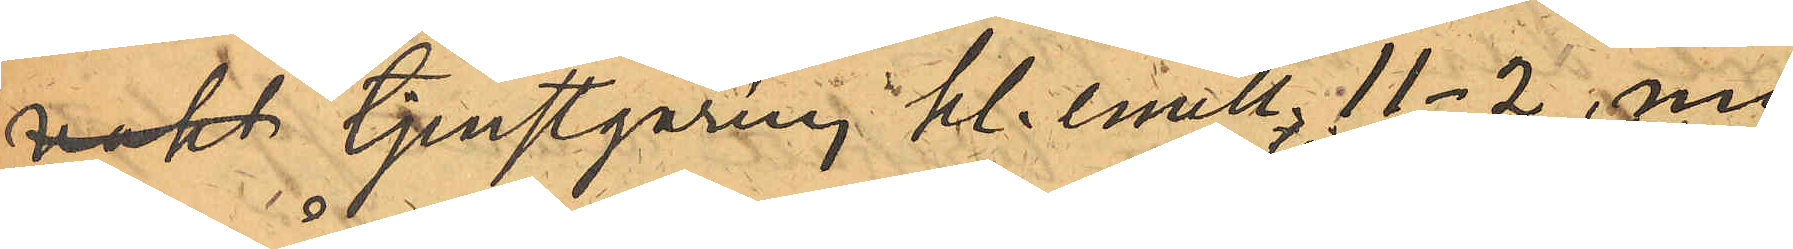vakt tjenstgöring kl. emell. 11-2, men
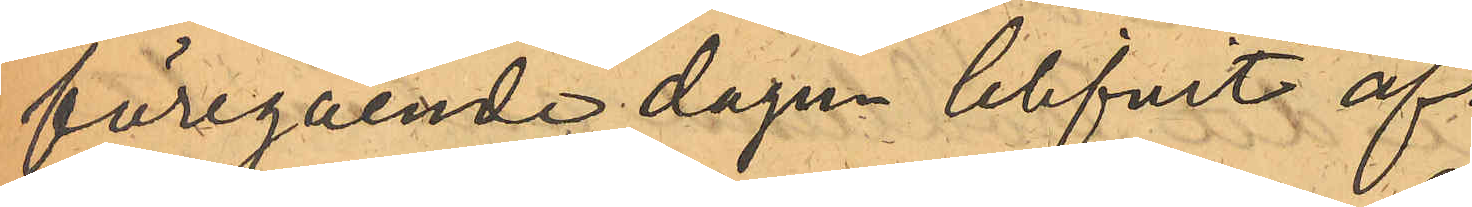föregående dagen blifvit af
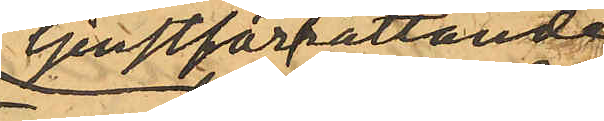tjenstförrättande
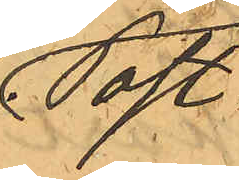Post¬
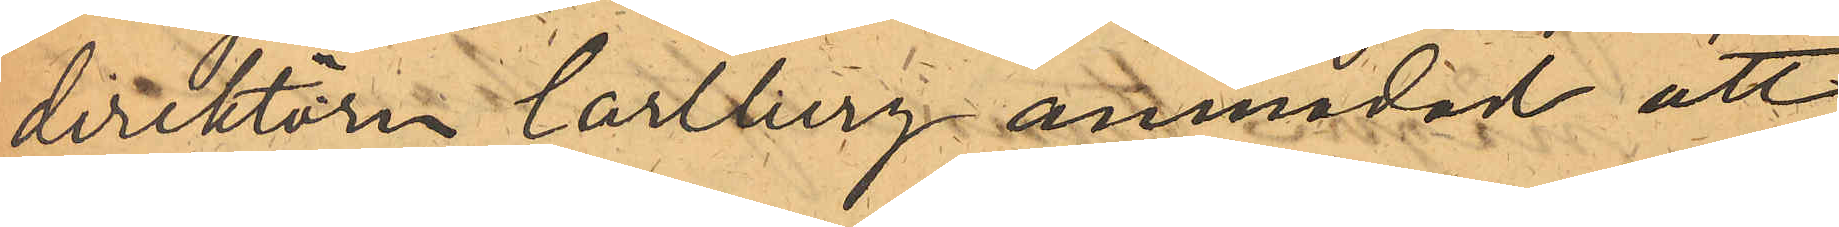direktörn Carlberg anmodad att
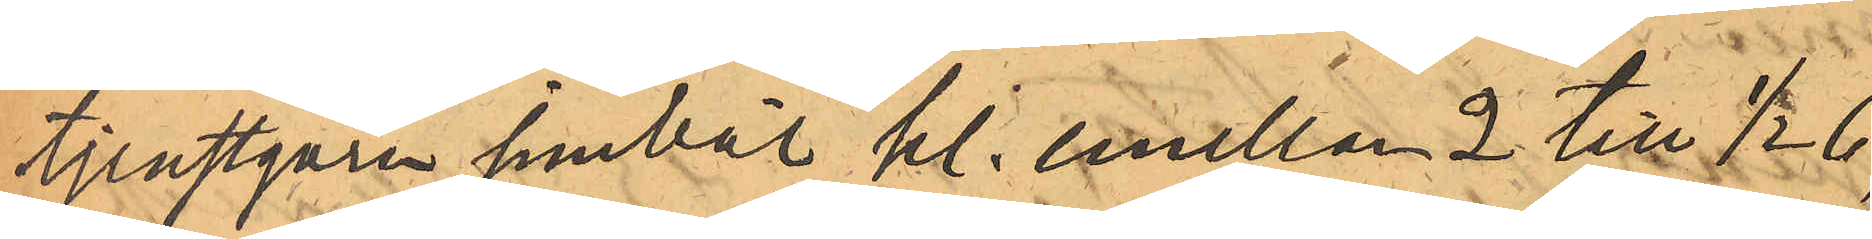tjenstgöra jemväl kl. emellan 2 till 1/2 6,
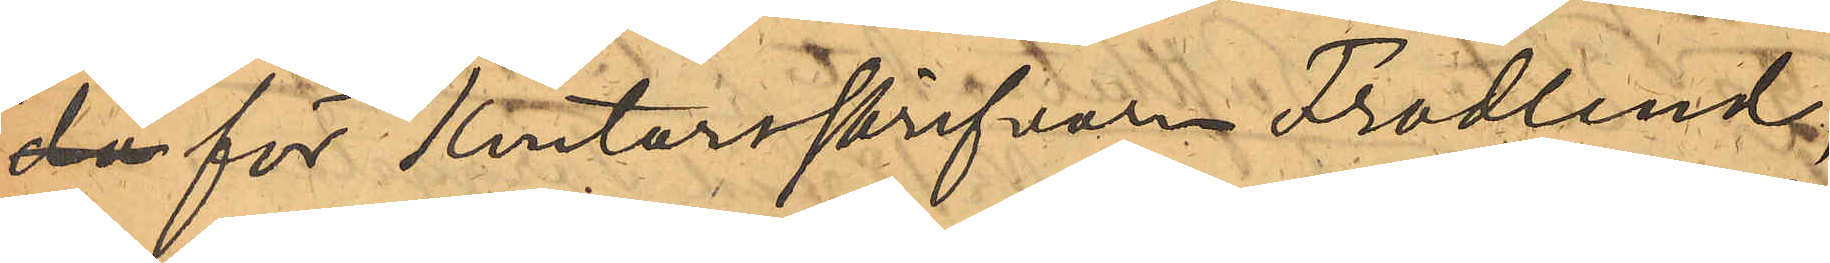då för Kontorsskrifvaren Frodlund,
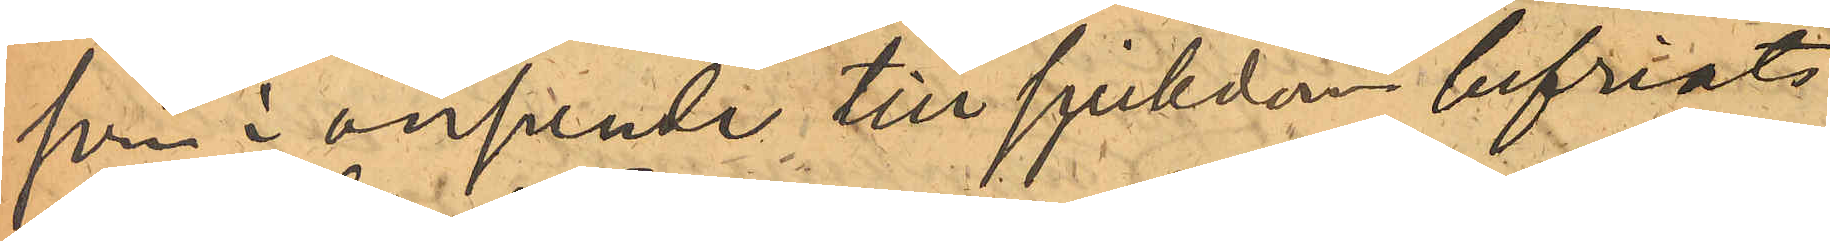som i anseende till sjukdom befriats
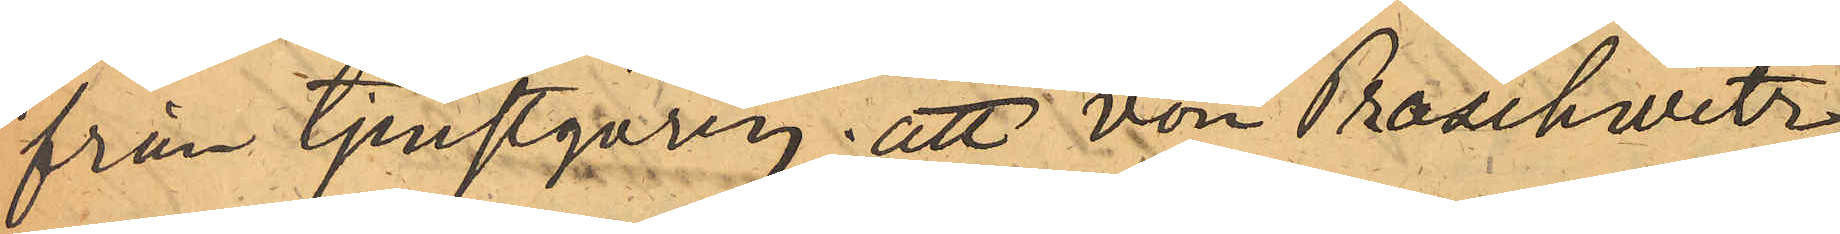från tjenstgöring; att von Proschwitz
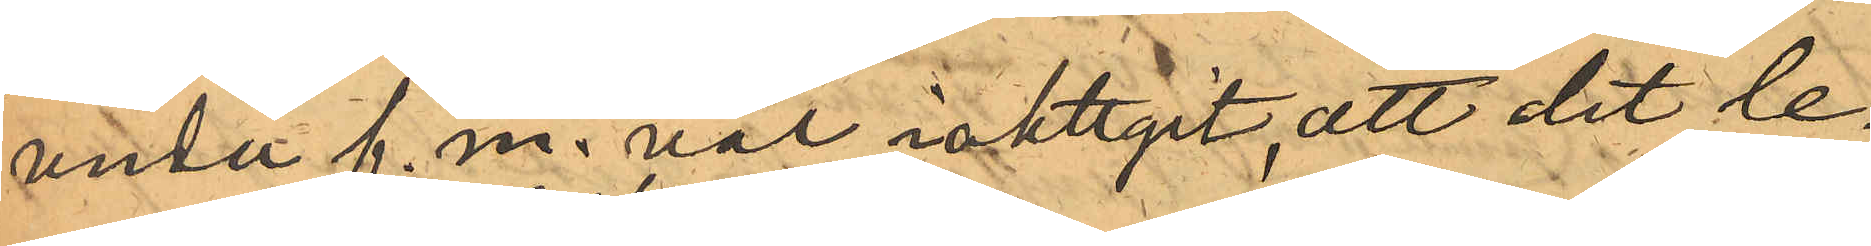under f.m. väl iakttgit, att det le¬
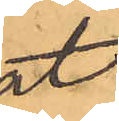gat
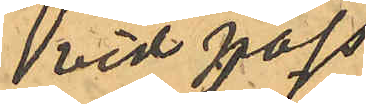vid pass
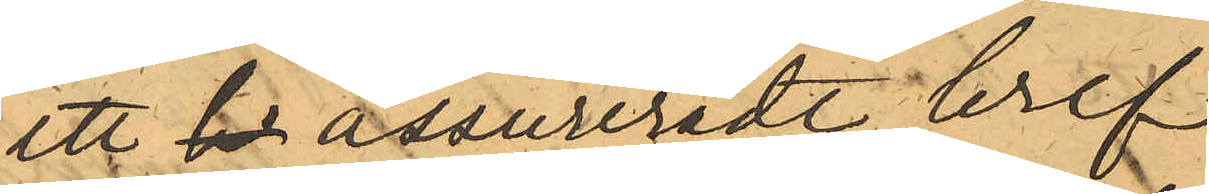ett  br assureradt bref
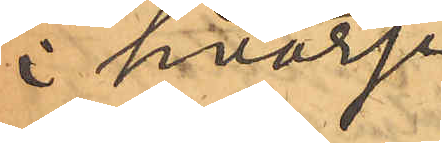i hvarje
